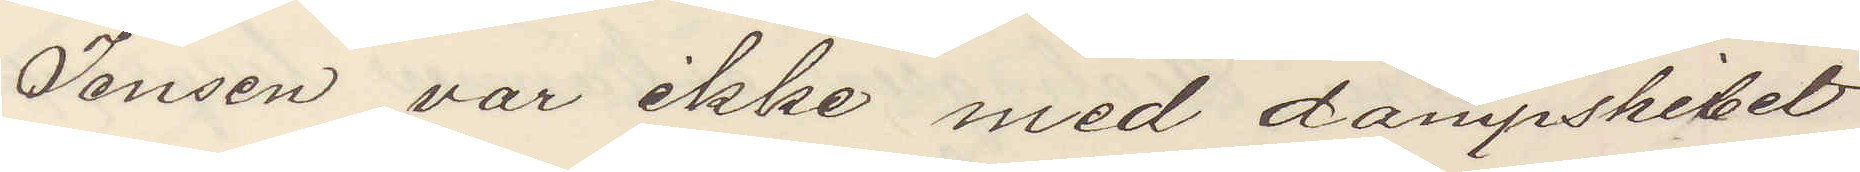Jensen var ikke med dampskibet
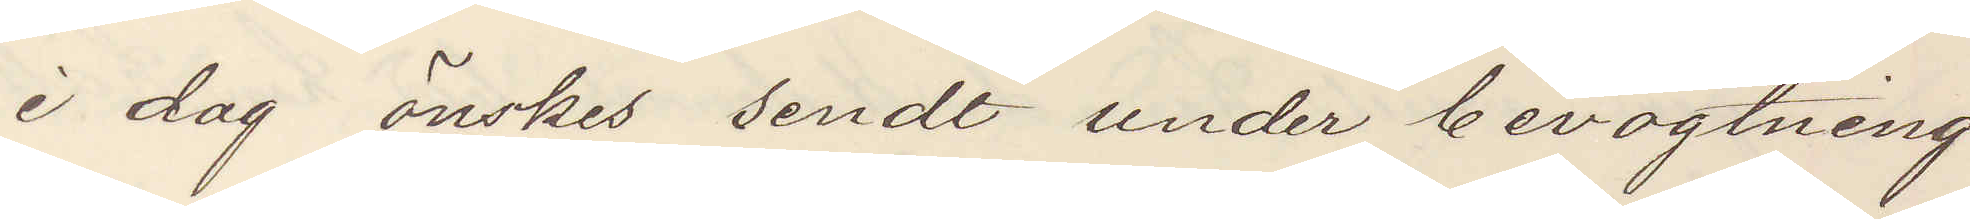i dag önskes sendt under bevogtning
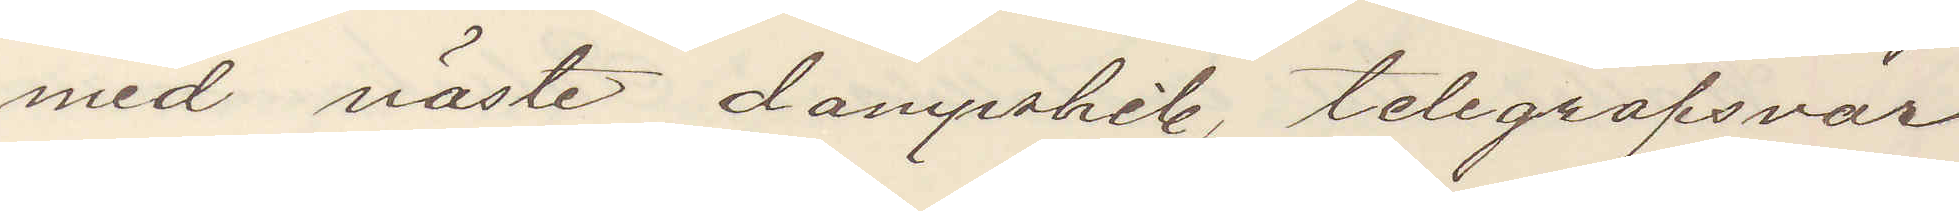med näste dampskib, telegrafsvar
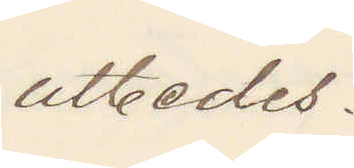utbedes.
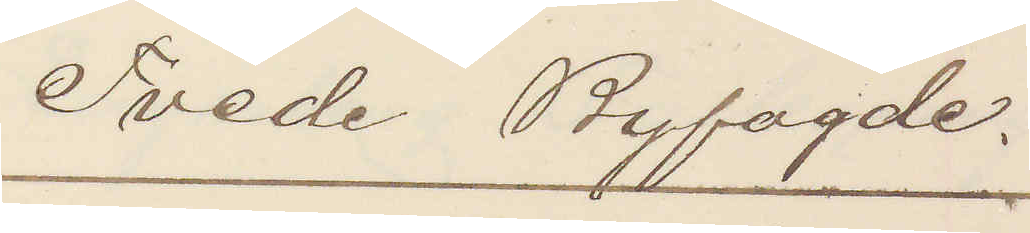Tvede Byfogde.
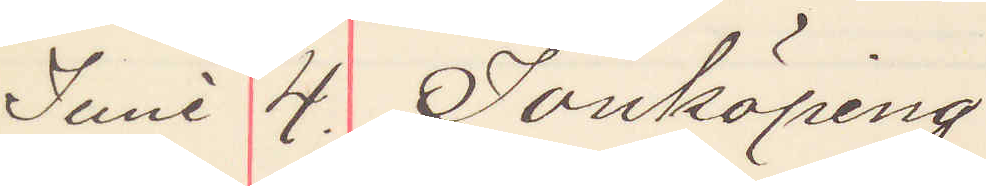Juni 4. Jönköping
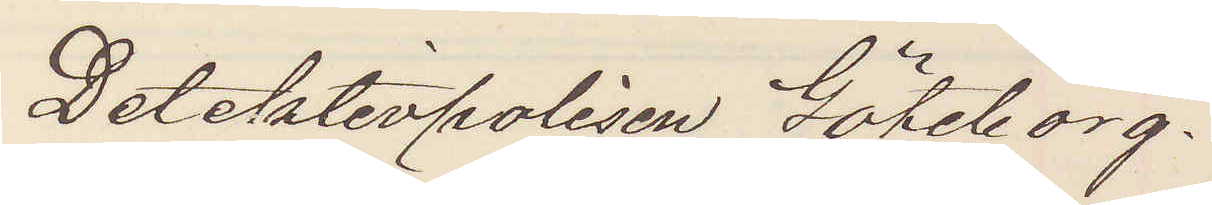Detektivpolisen Göteborg.
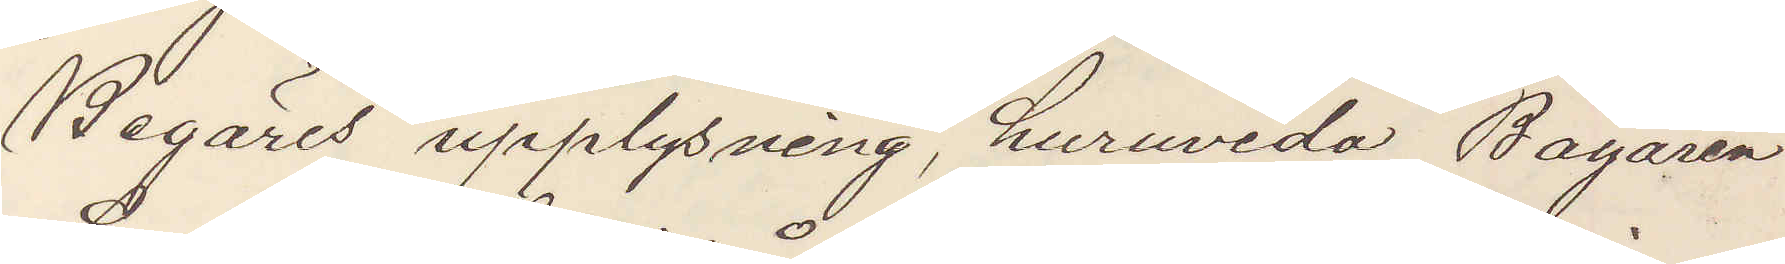Begäres upplysning, huruvida Bagaren
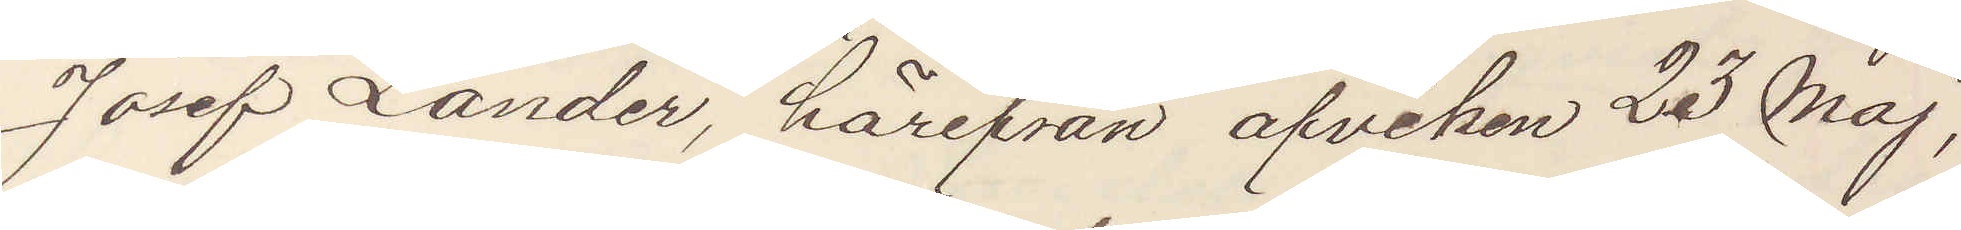Josef Lander, härifrån afviken 23 Maj,
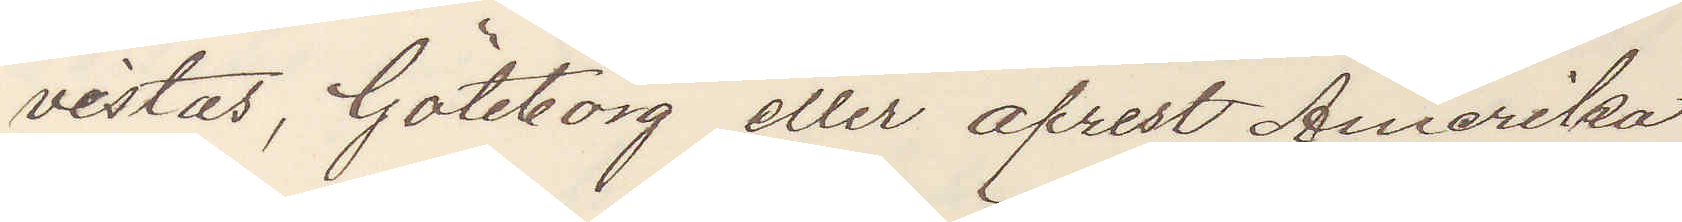vistas, Göteborg eller afrest Amerika.
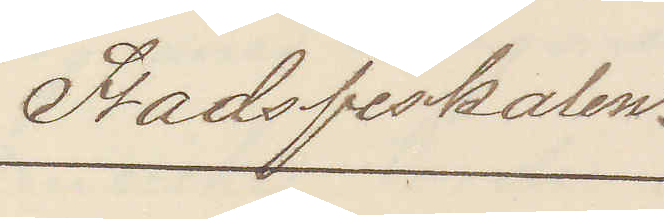Stadsfiskalen.
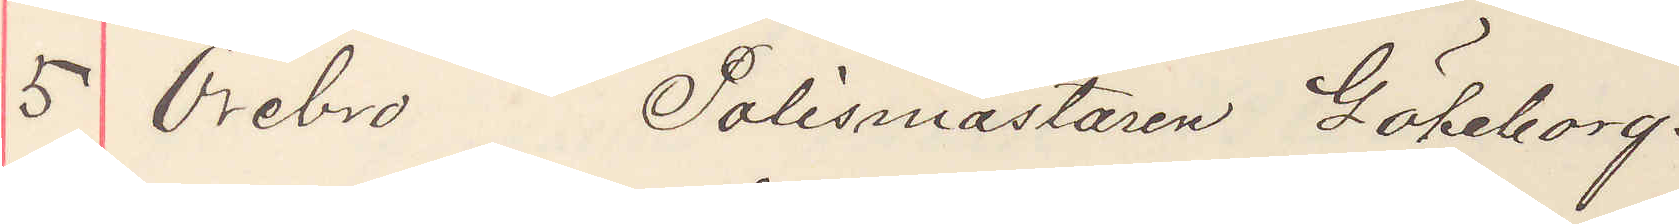5 Örebro Polismästaren Göteborg.
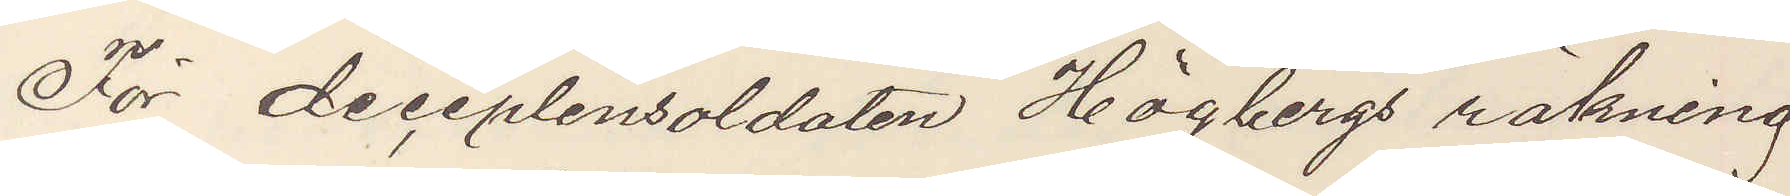För diciplinsoldaten Högbergs räkning
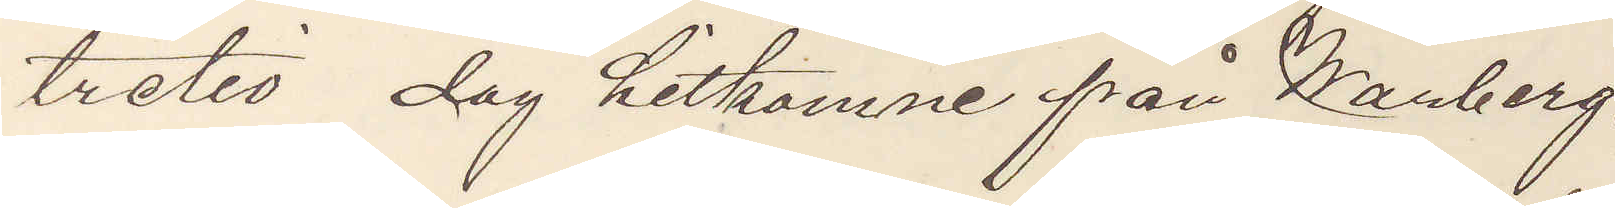tretio dag hitkomne från Warberg.
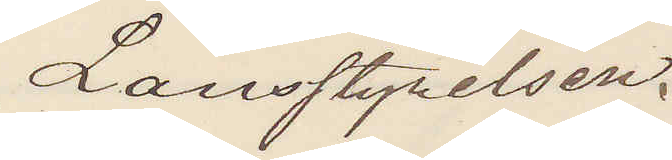Länsstyrelsen.
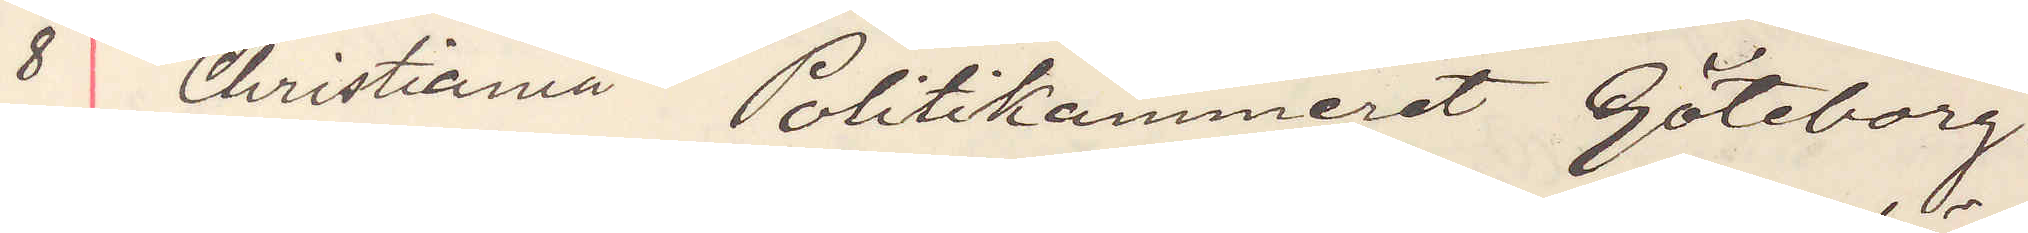8 Christiania Politikammeret Göteborg.
